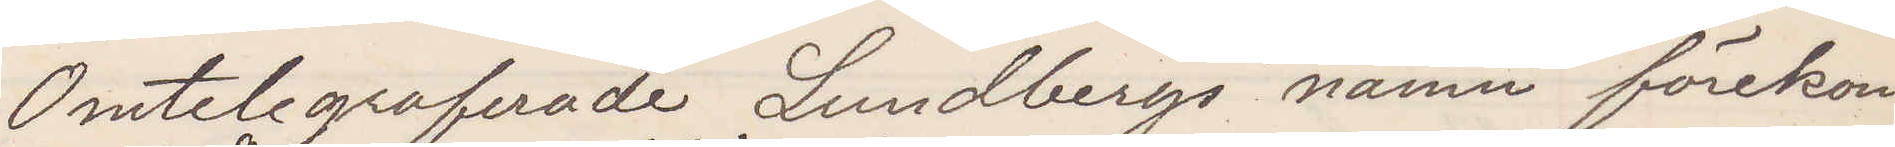Omtelegraferade Lundbergs namn förekom¬
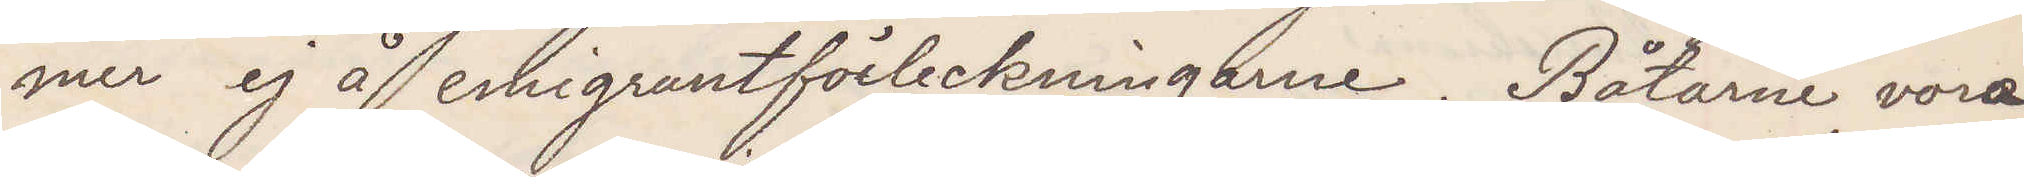mer ej å emigrantförteckningarne. Båtarne voro
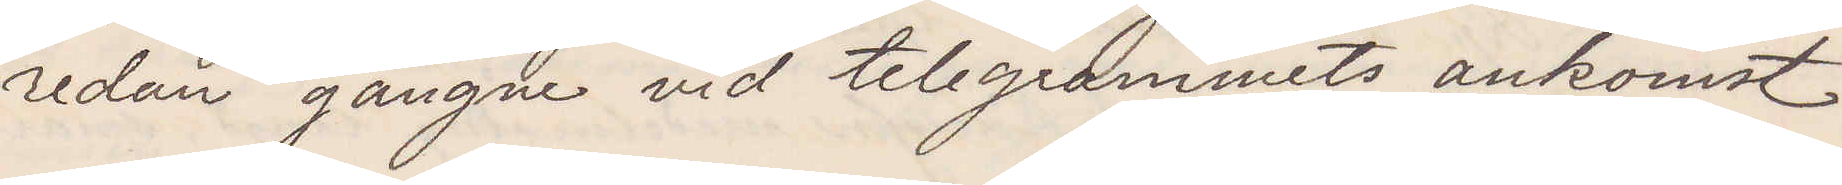redan gångne vid telegrammets ankomst
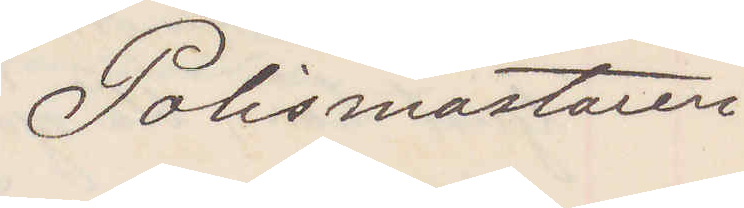Polismästaren
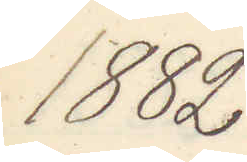1882
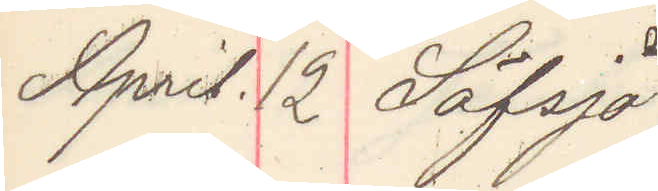April. 12 Säfsjö
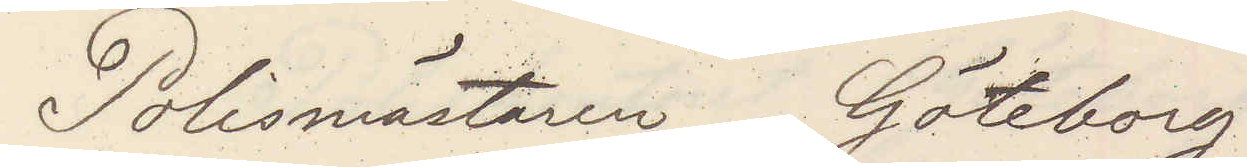Polismästaren Göteborg
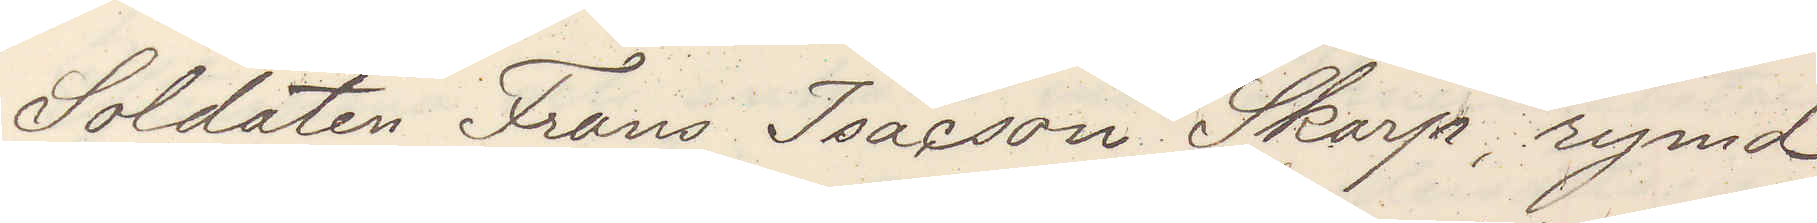Soldaten Frans Isacson Skarp, rymd
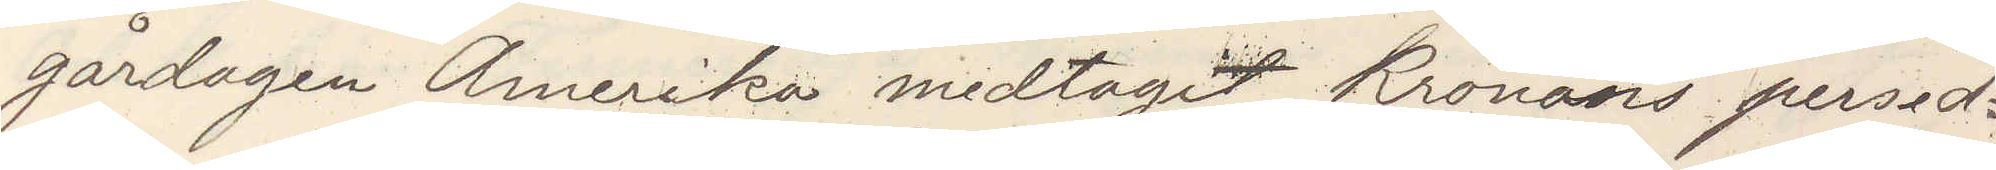gårdagen Amerika medtagit Kronans persed¬
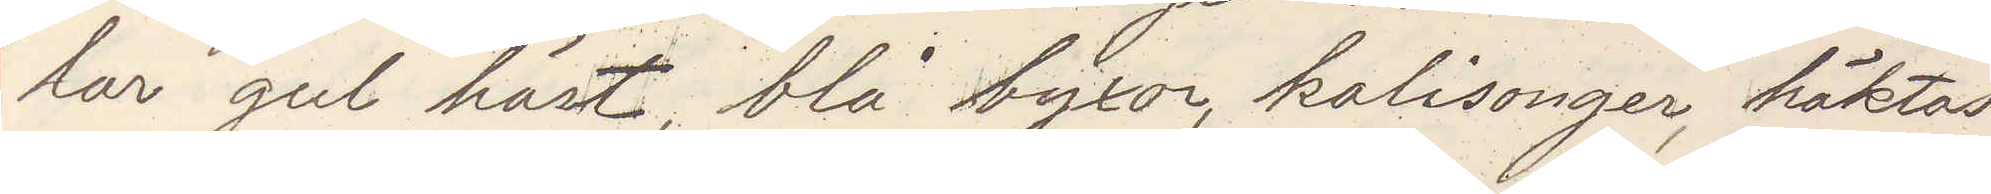lar gul häst, blå byxor, kalisonger, häktas
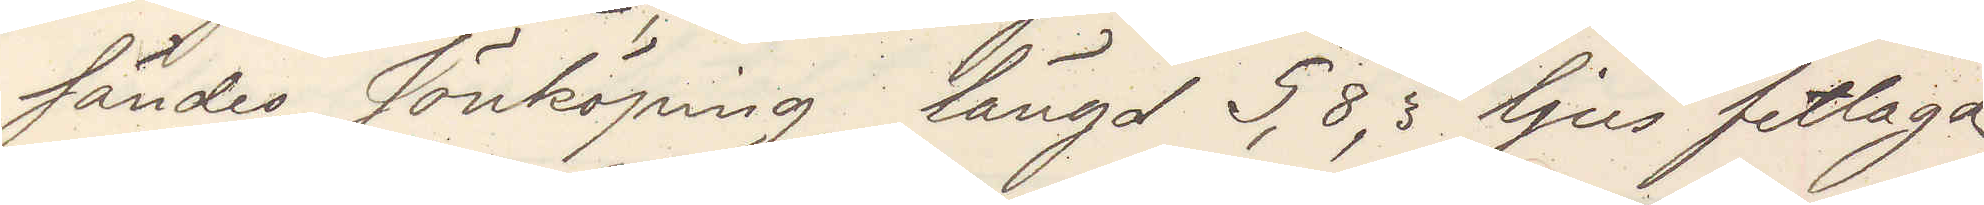sändes Jönköping, långd 5,8,3 ljus fetlagd
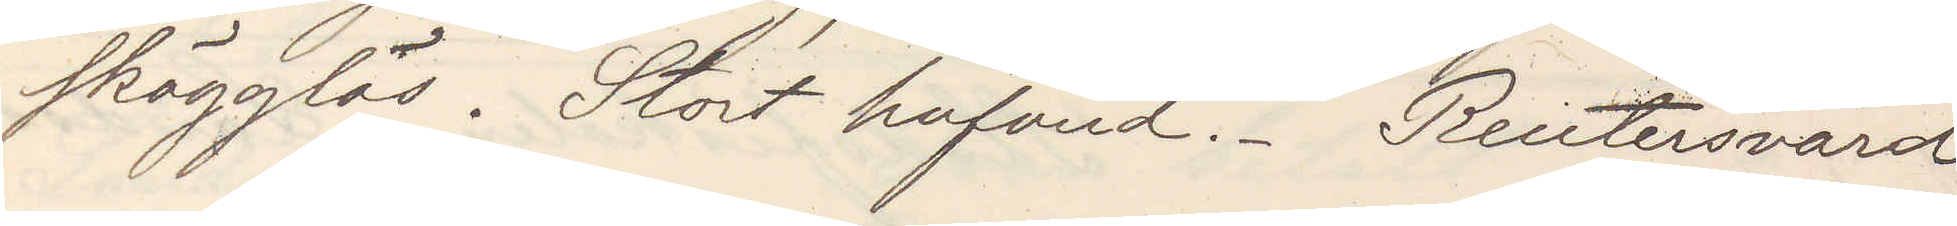skägglös. Stort hufvud. Reutersvärd 
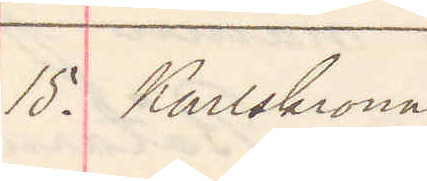15. Karlskrona
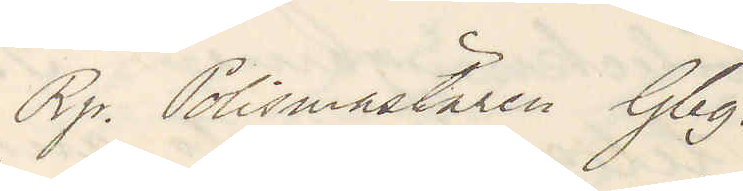Rp. Polismästaren Gbg.
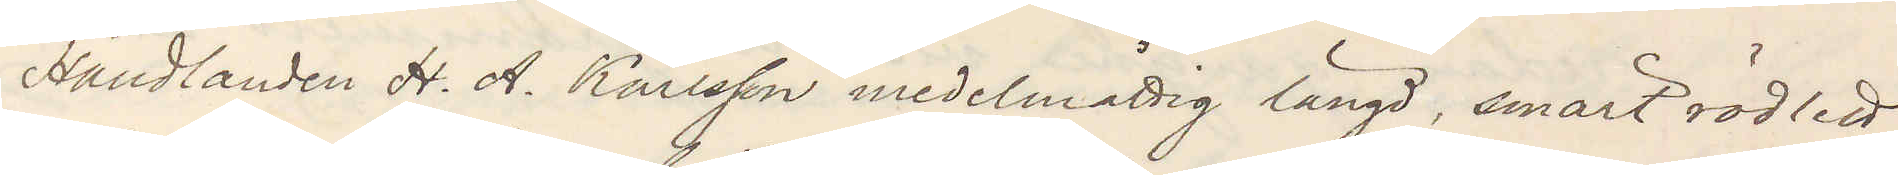Handlanden H. A. Karlsson medelmåttig längd, smärt rödlett,
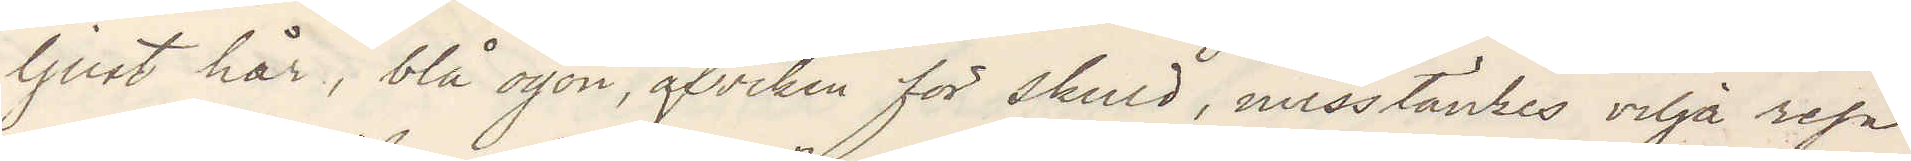ljust hår, blå ögon, afviken för skuld, misstänkes vilja resa
